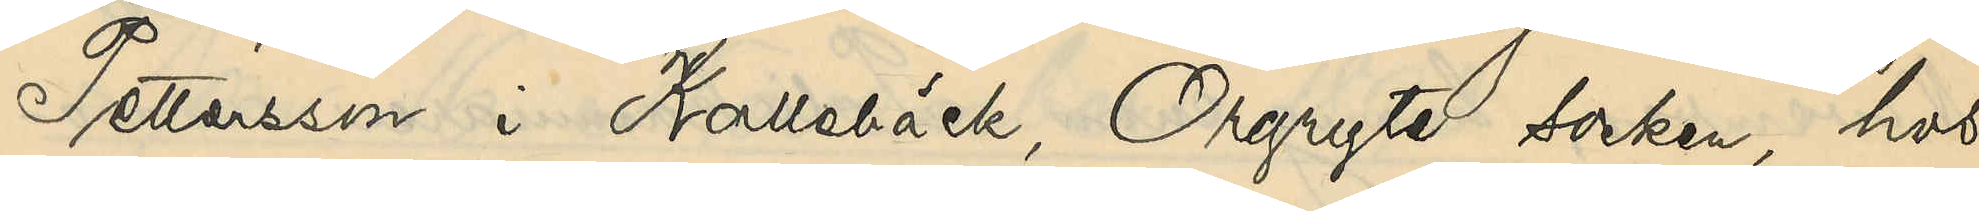Pettersson i Kallebäck, Örgryte socken, hos
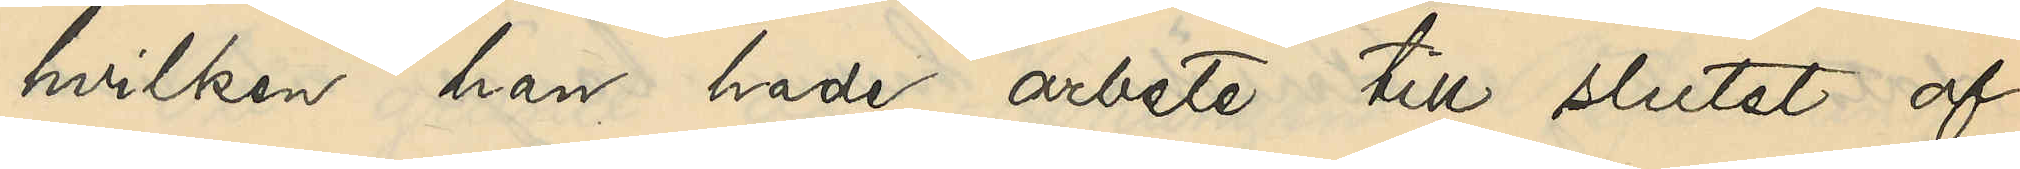hvilken han hade arbete till slutet af
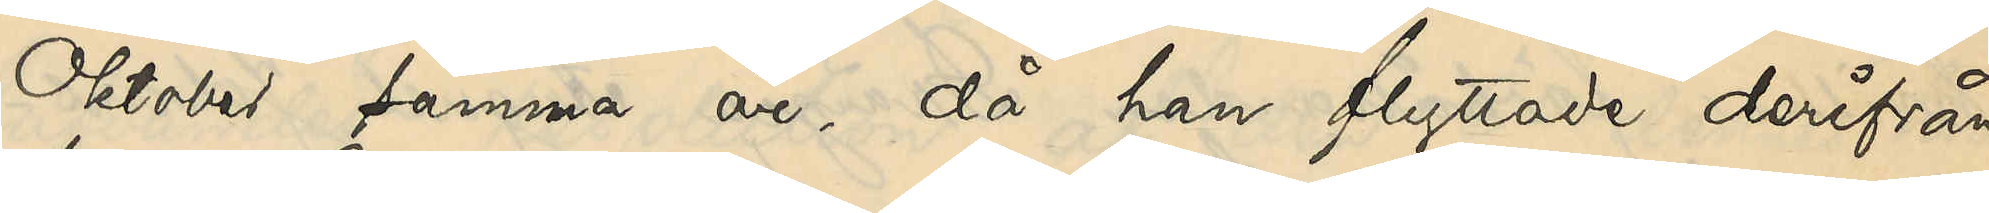Oktober samma år, då han flyttade derifrån
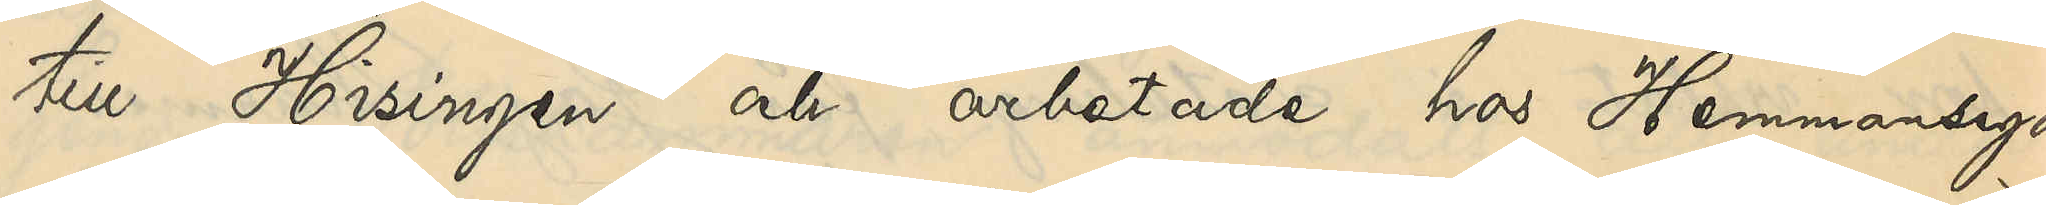till Hisingen och arbetade hos Hemmansega¬
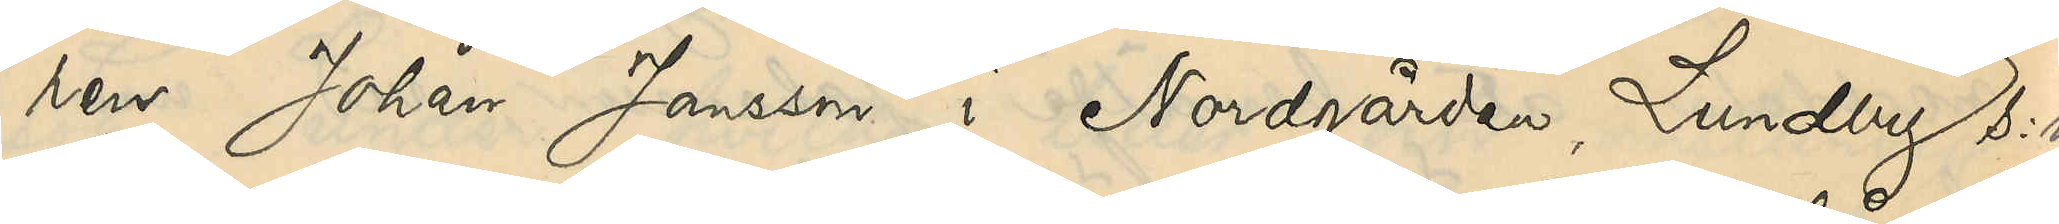ren Johan Jansson i Nordgården, Lundby s:n
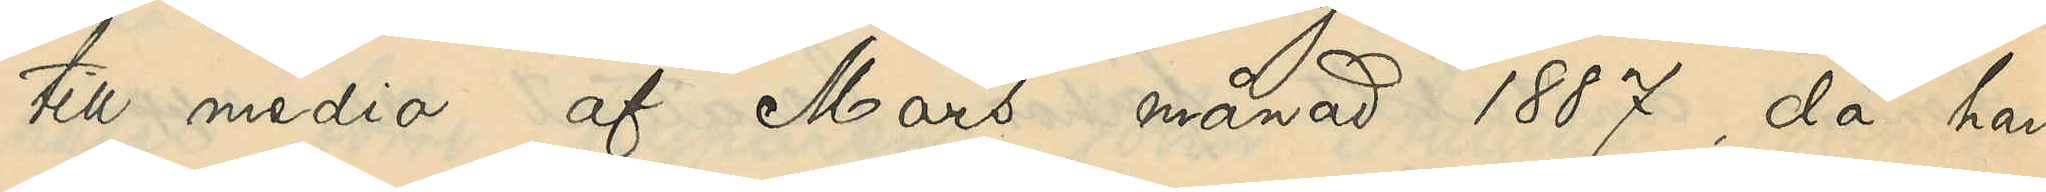till medio af Mars månad 1887, då han
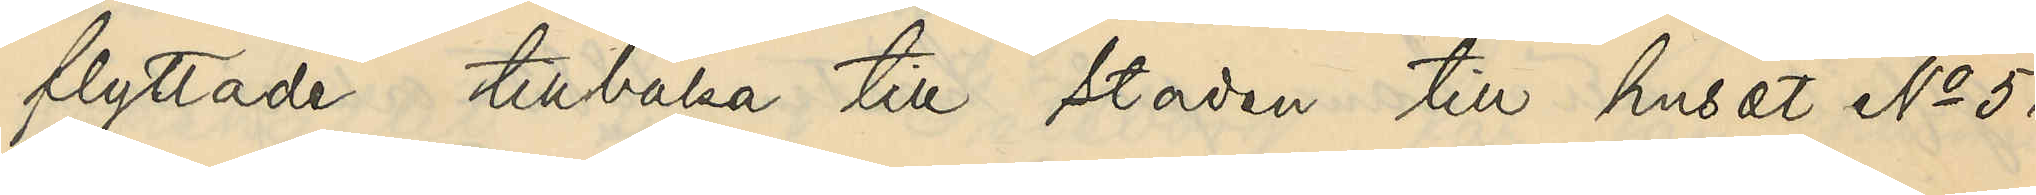flyttade tillbaka till staden till huset No 51
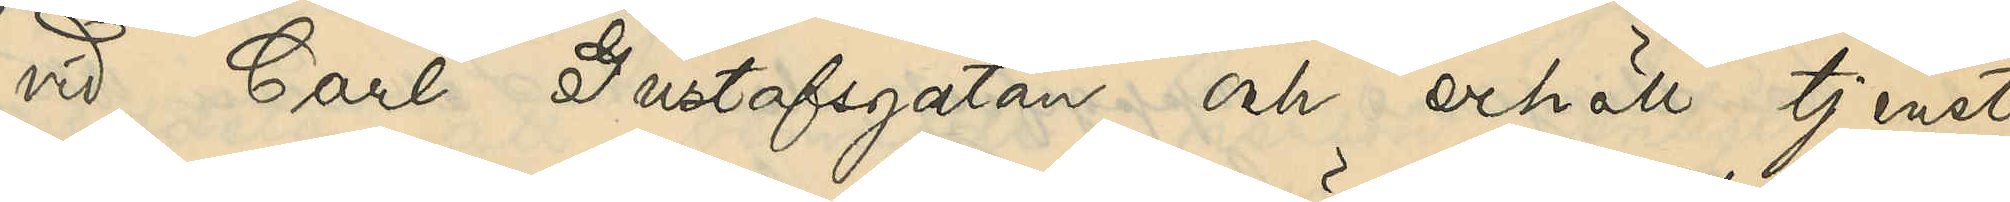vid Carl Gustafsgatan och erhöll tjenst
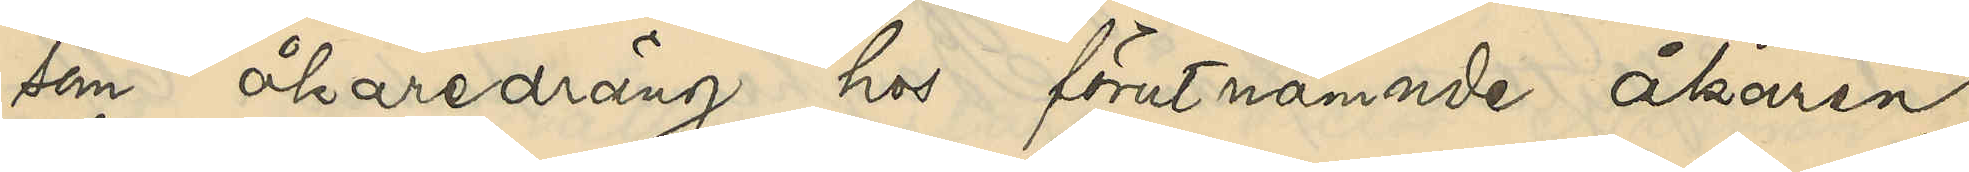som åkaredräng hos förutnämnde åkaren
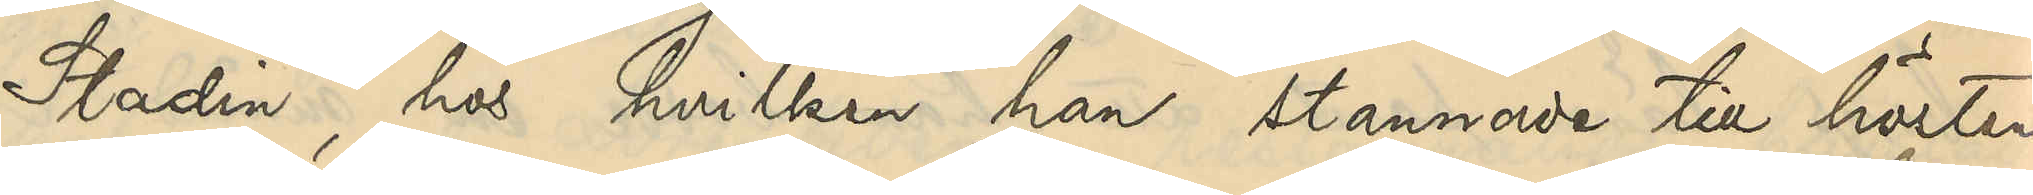Stadin, hos hvilken han stannade till hösten
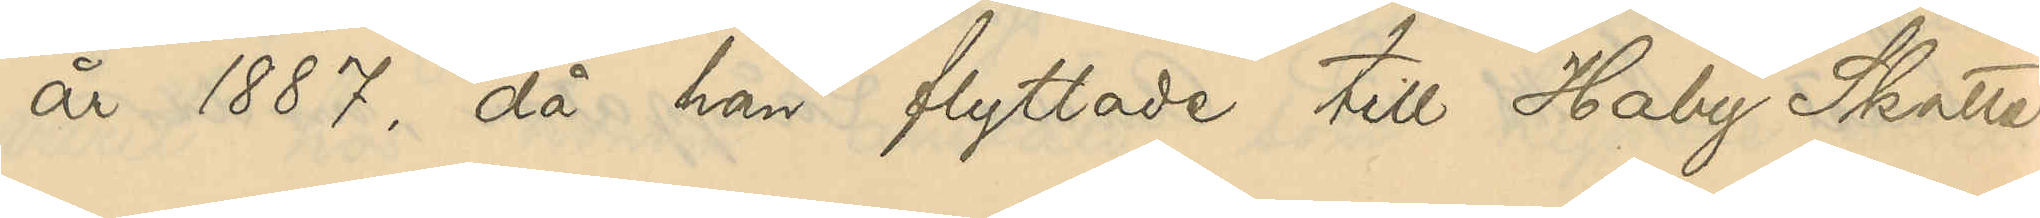år 1887, då han flyttade till Haby Skatte¬
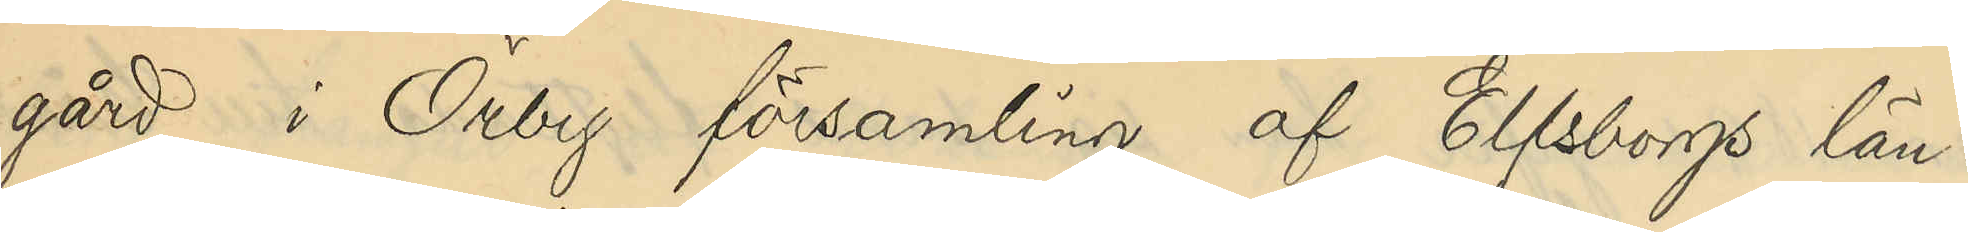gård i Örby församling af Elfsborgs län.
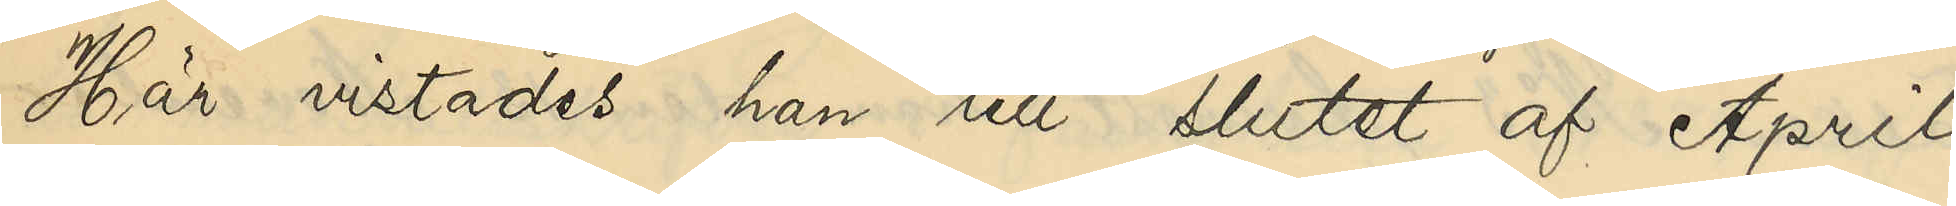Här vistades han till slutet af April
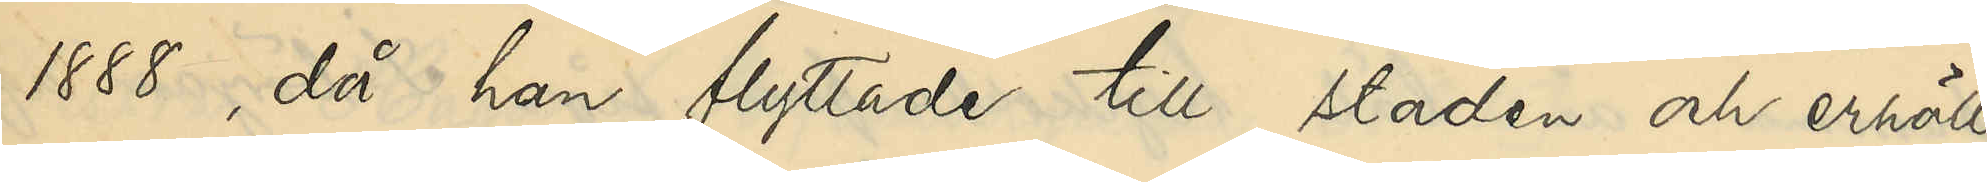1888, då han flyttade till staden och erhöll
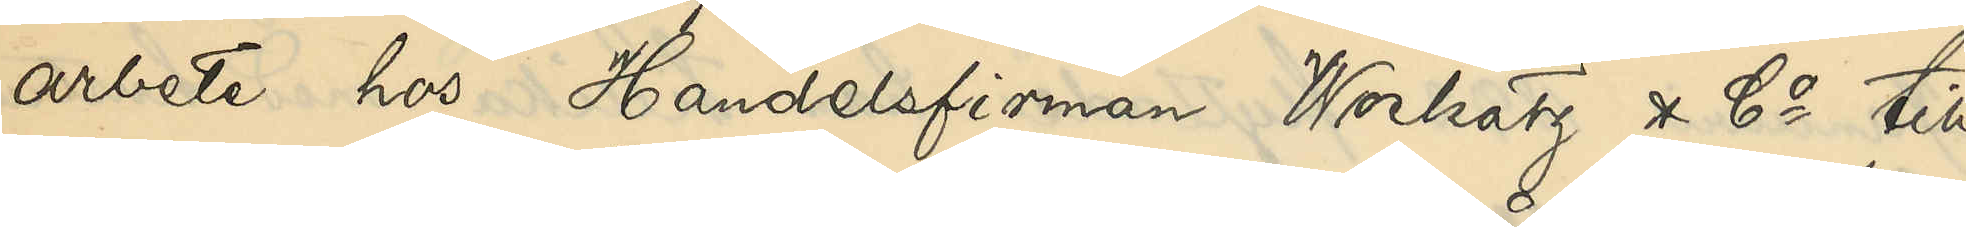arbete hos Handelsfirman Wockatz & Co till
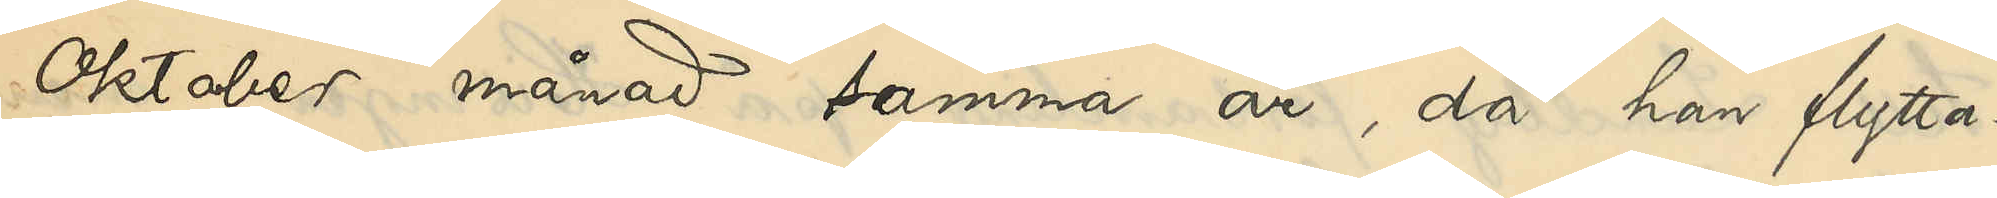Oktober månad samma år, då han flytta¬
